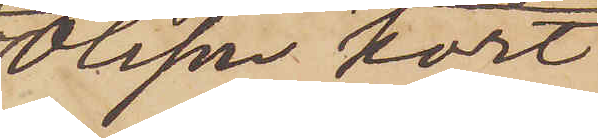Olsson kort
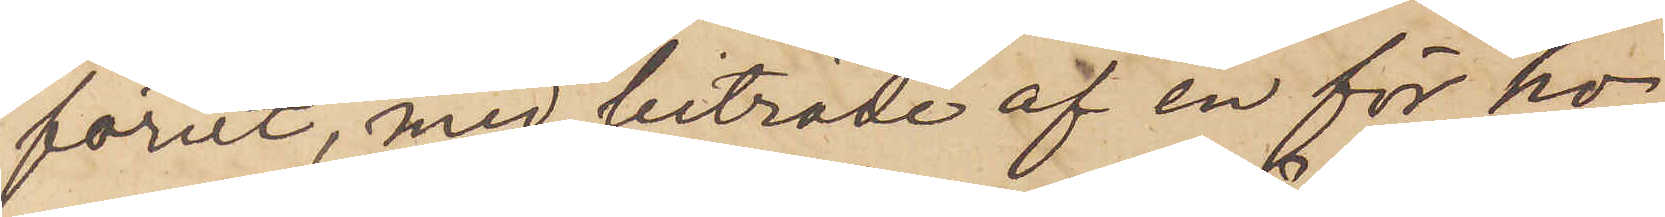förut, med biträde af en för ho¬
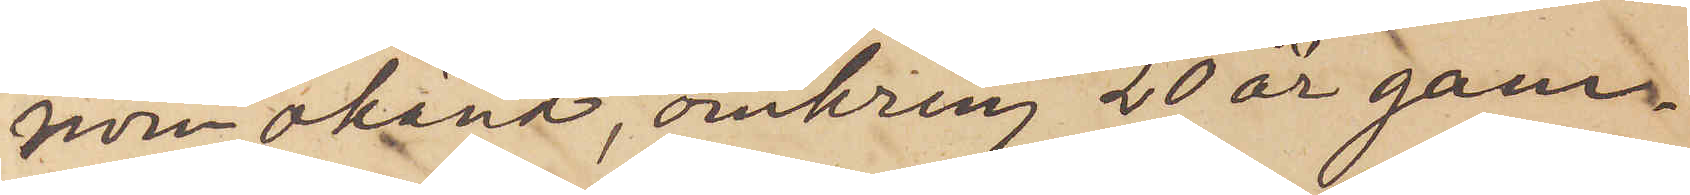nom okänd, omkring 20 år gam¬
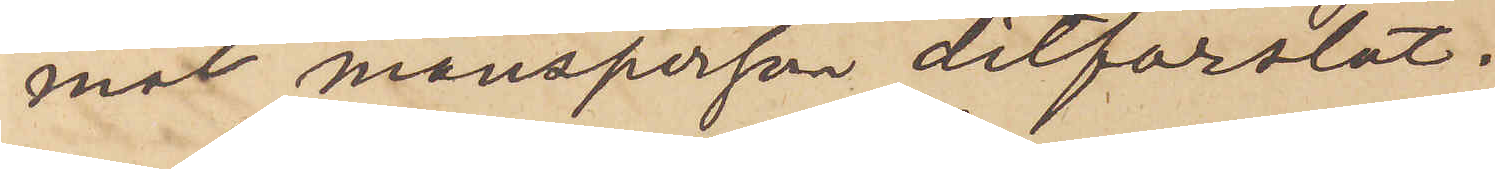mal mansperson ditforslat.
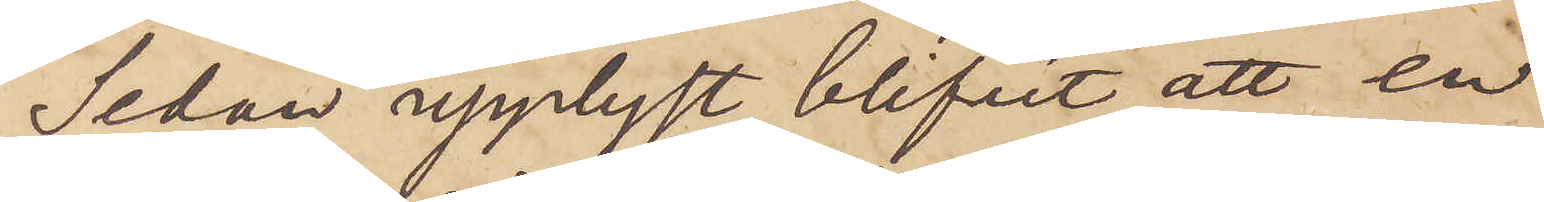Sedan upplyst blifvit att en
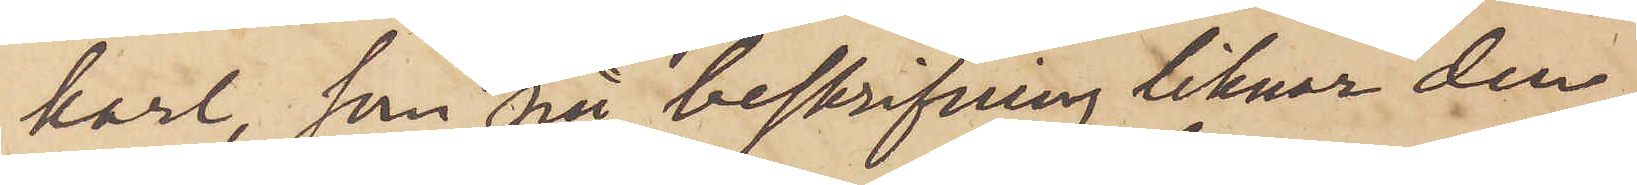karl, som på beskrifning liknar den
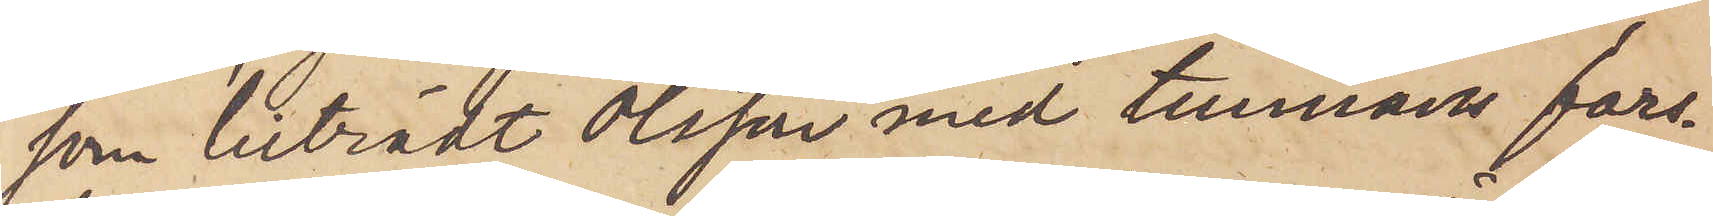som biträdt Olsson med tunnans fors¬
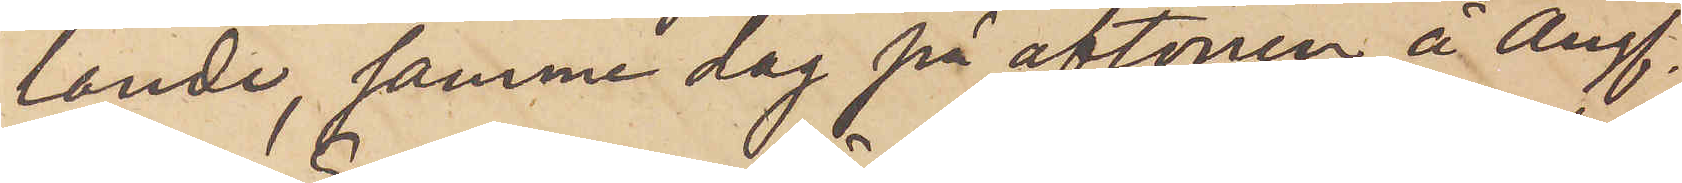lande, samma dag på aftonen å Ångf.
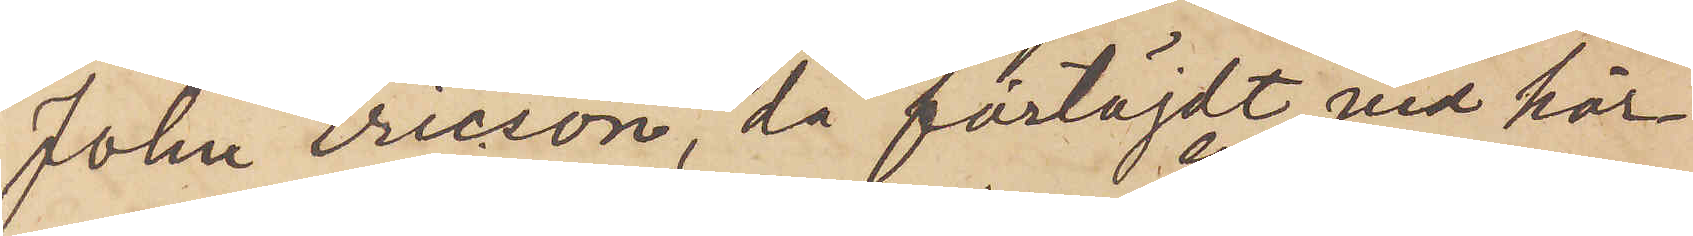John Ericson, då förtöjdt vid här¬
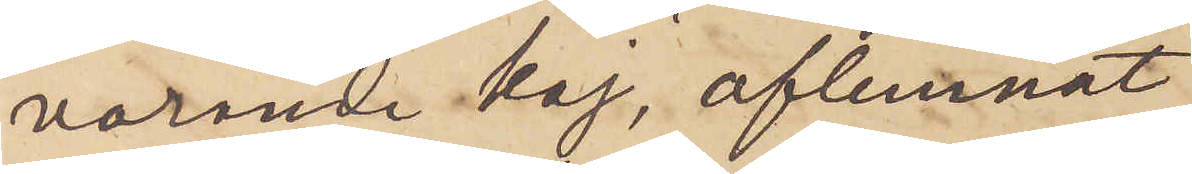varande kaj, aflemnat
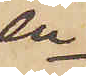en
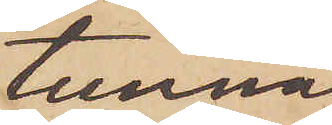tunna
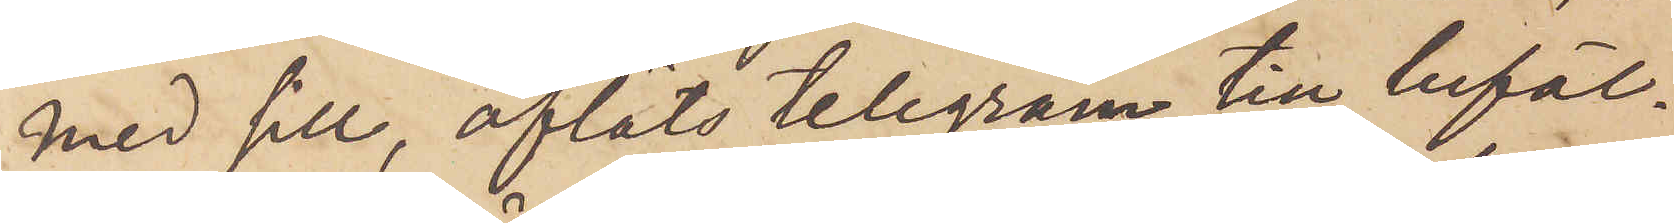med sill, afläts telegram till befäl¬
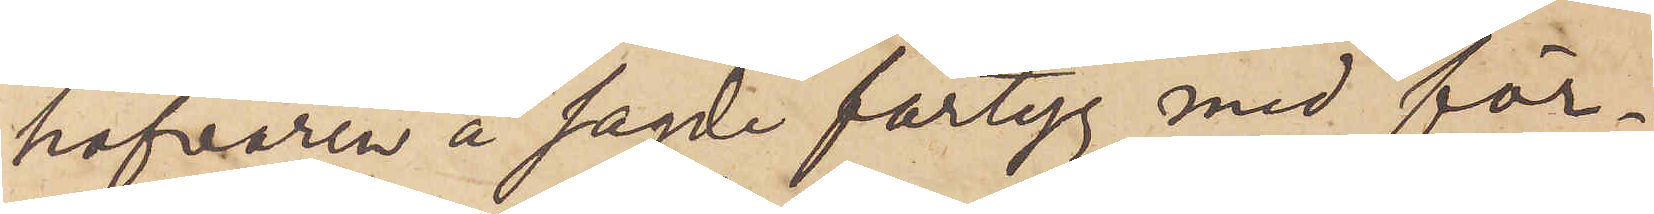hafvaren å sagde fartyg med för¬
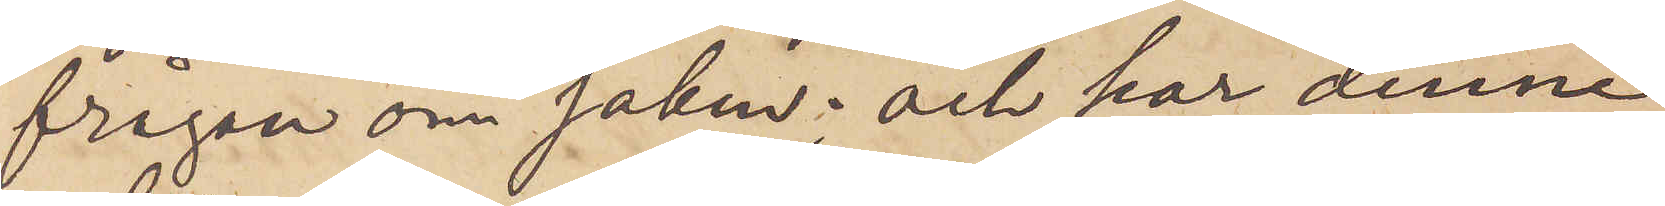frågan om saken; och har denne
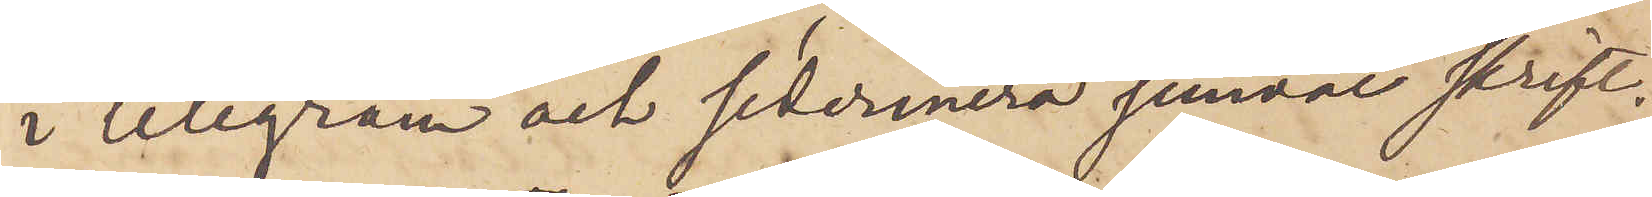i telegram och sedermera jemväl skrift¬
